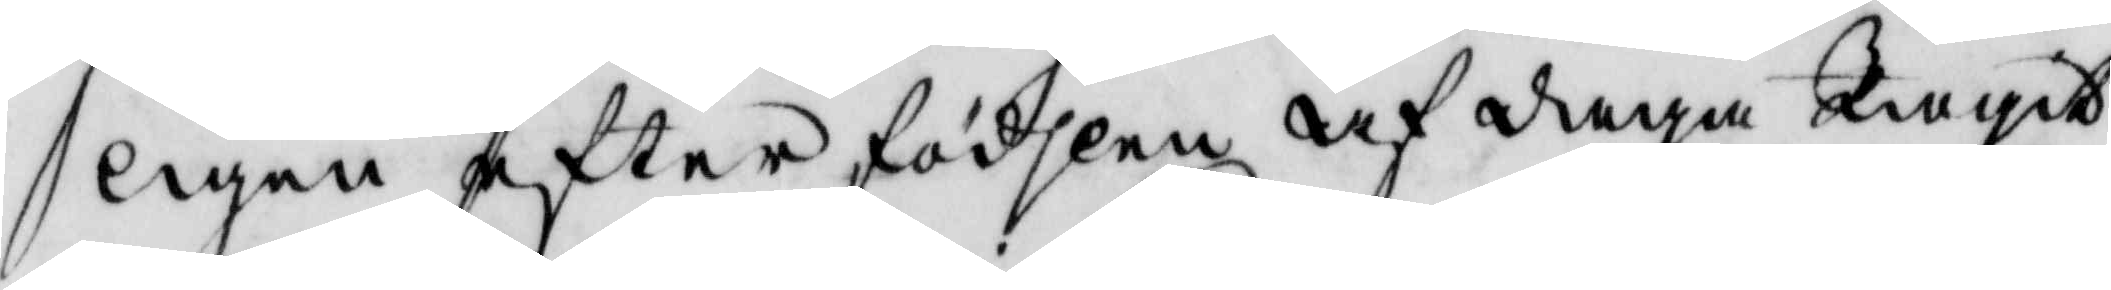ligen efter födslen af daga Tagit
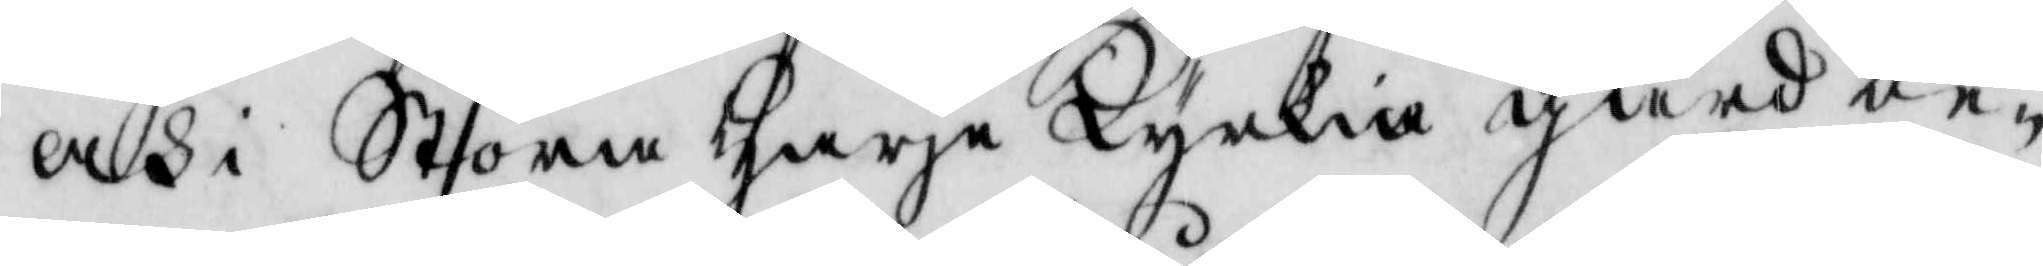och i Stora Harja Kyrkia gård be¬
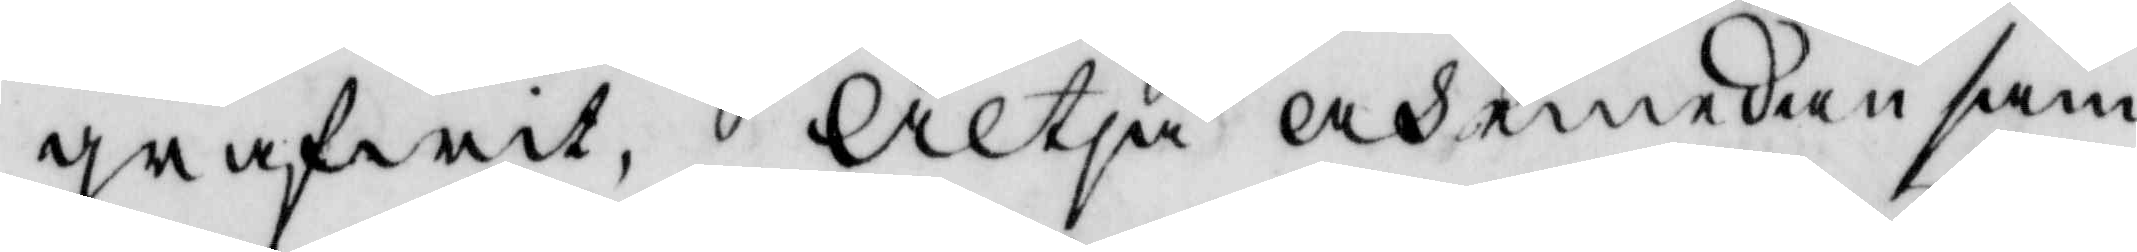grafwit, Altså och emedan sam¬
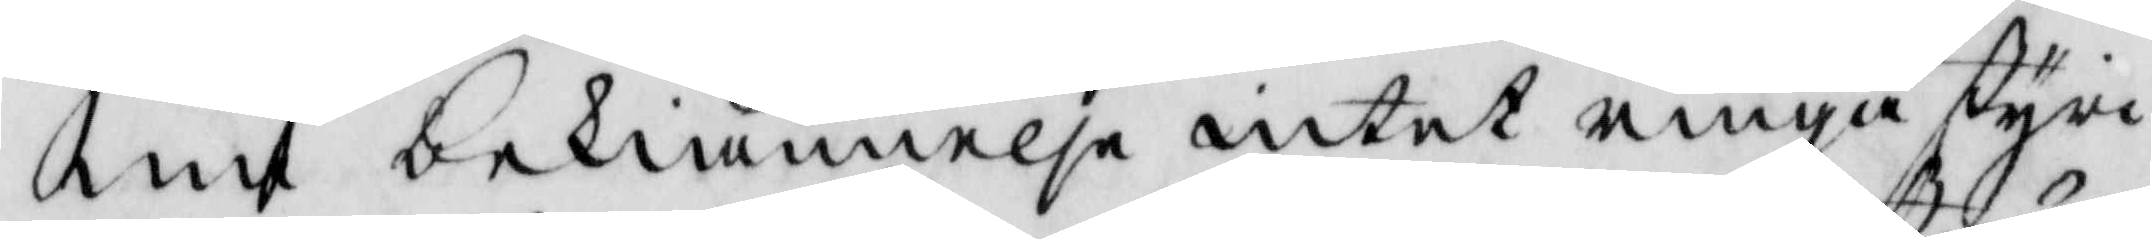ma bekiännelse intet ringa styr¬
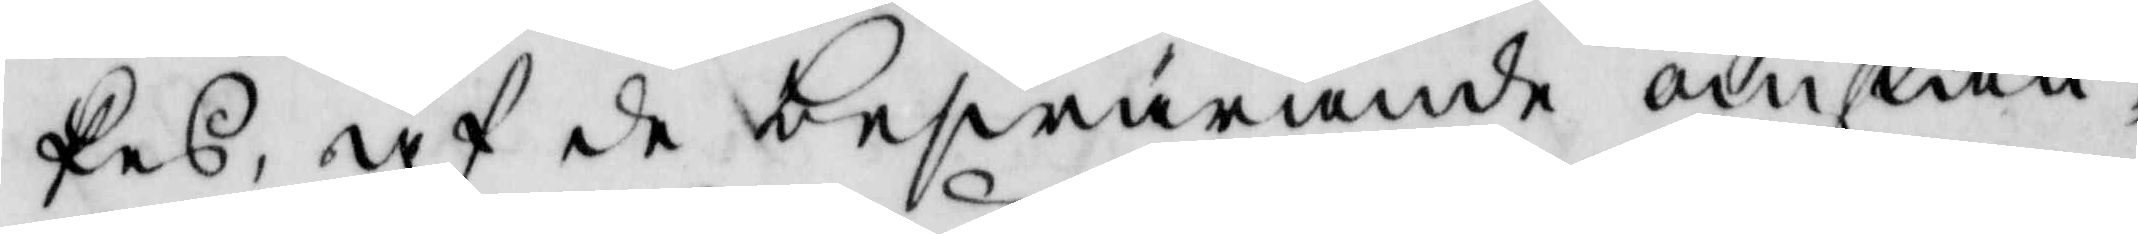kes, af de beswärande omstän¬
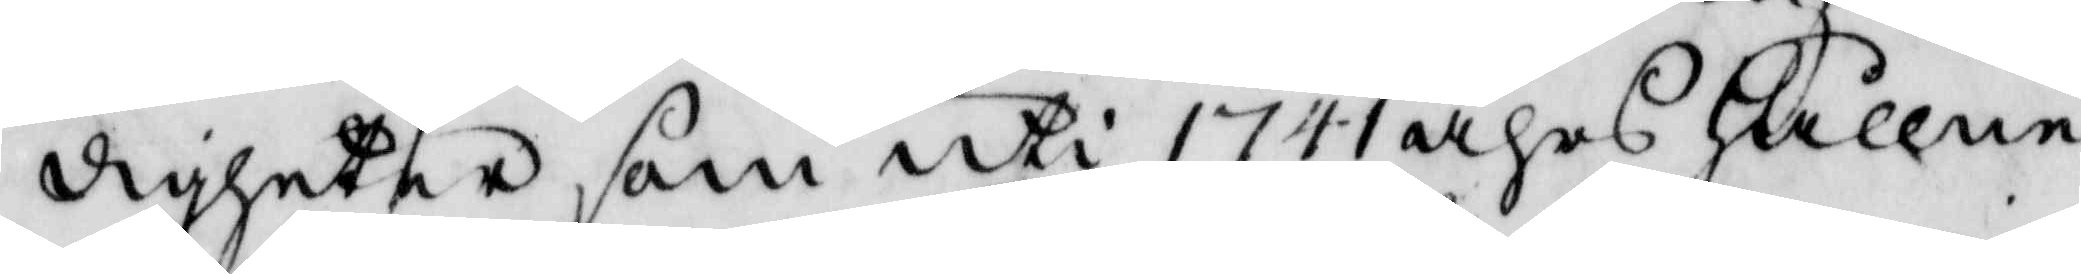digheter, som uti 1741 åhrs hållne
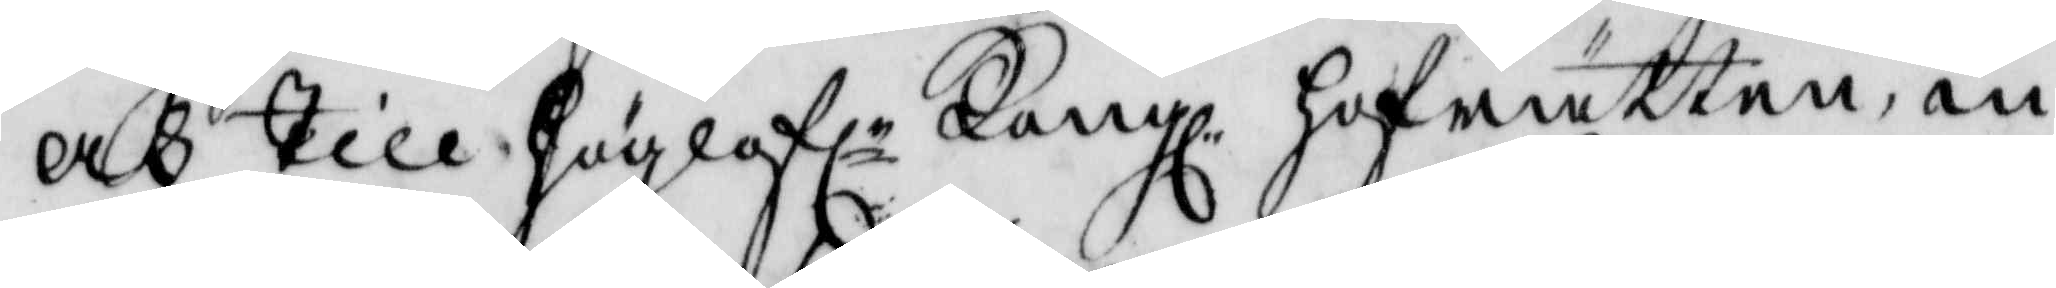och till höglofle Kongl. Hogrätten, in¬
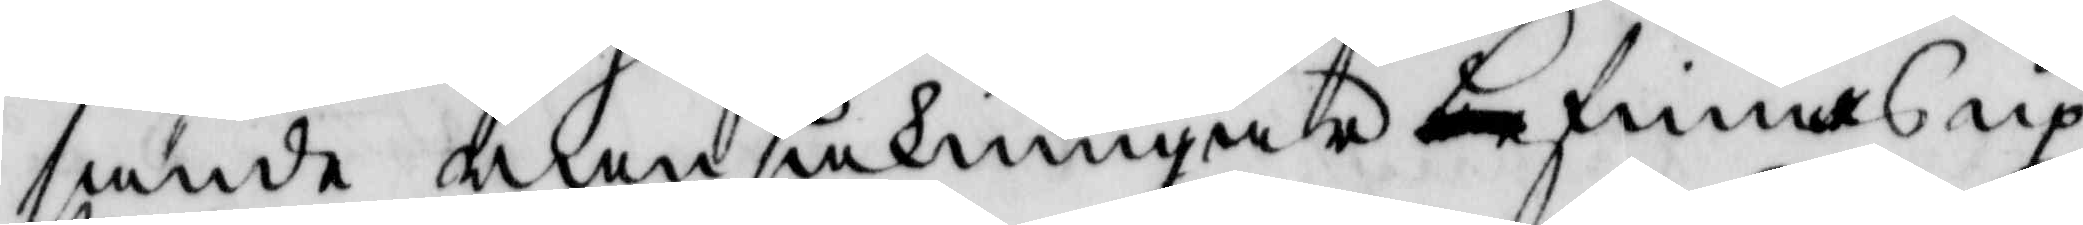sände ransakningar befinnas up¬
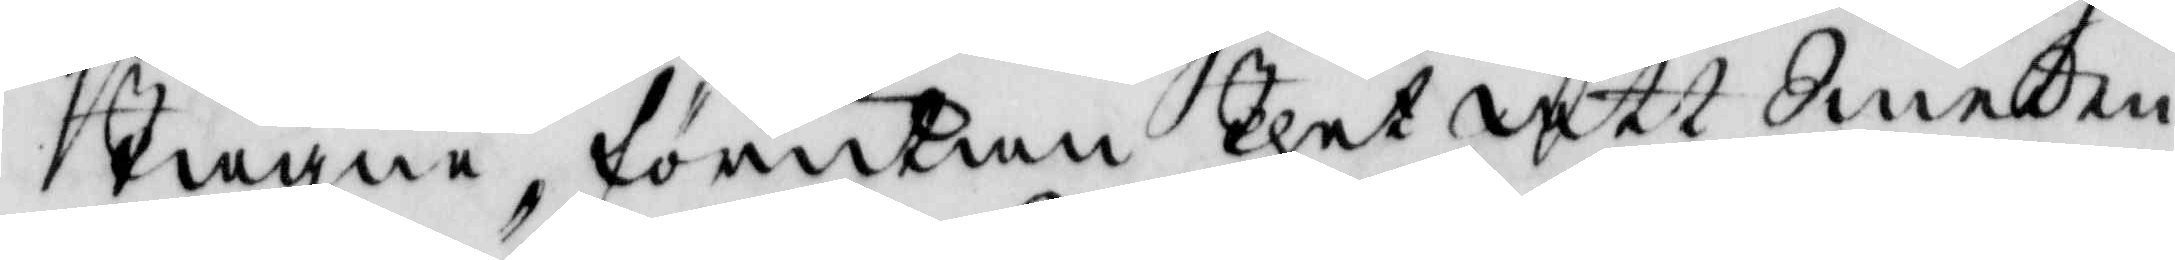Tagne, förutan Thet att Smeden
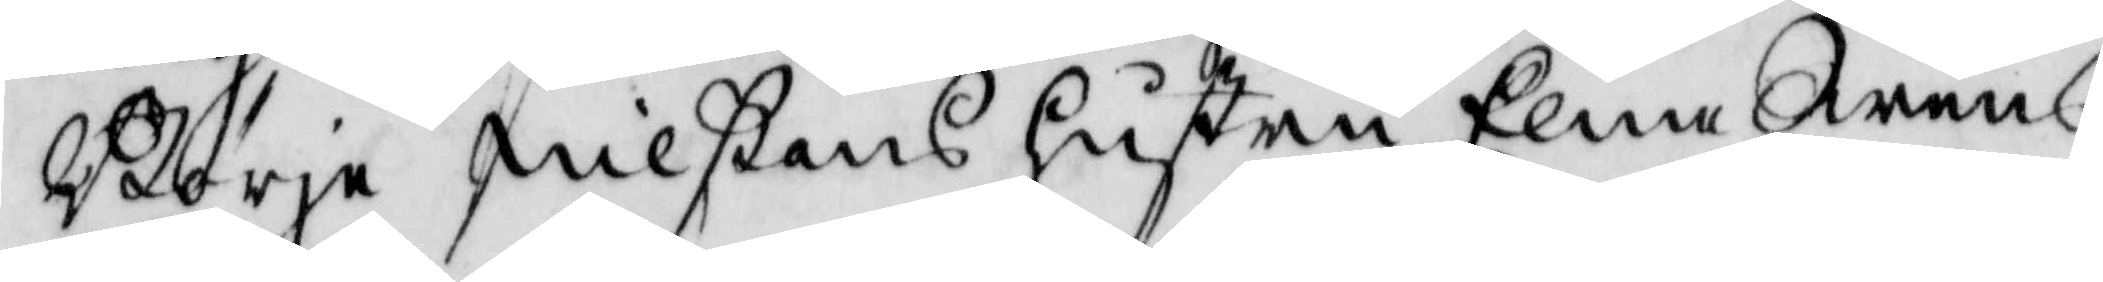Börje Nilons hustru Elna Swens¬
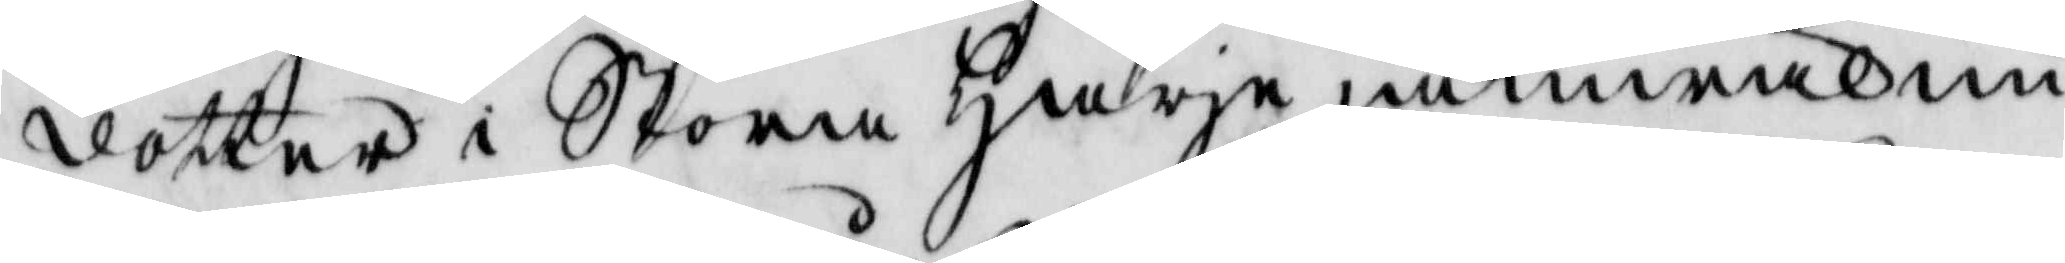dotter i Stora Harja jämwäl nu
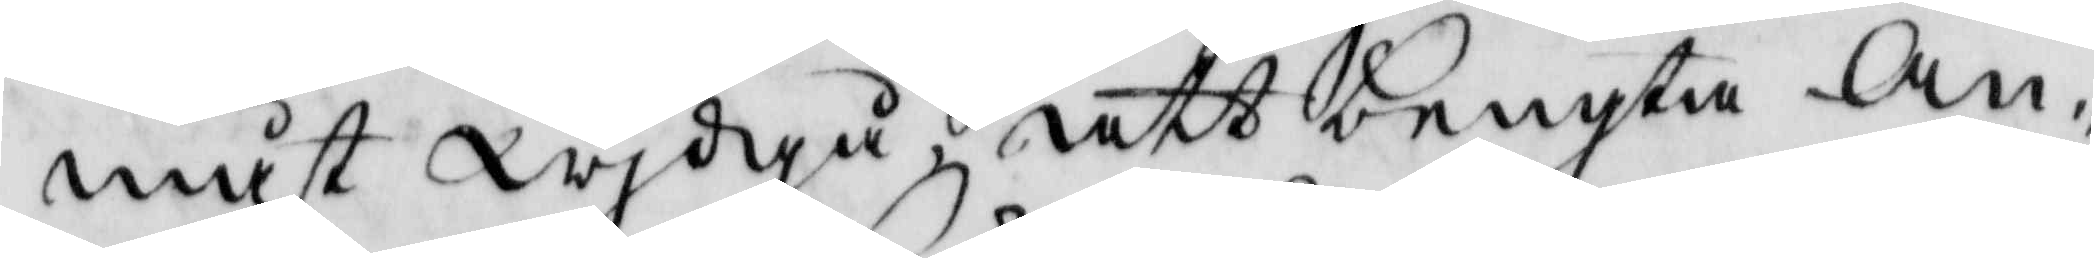måst wjdgå att bengta An¬
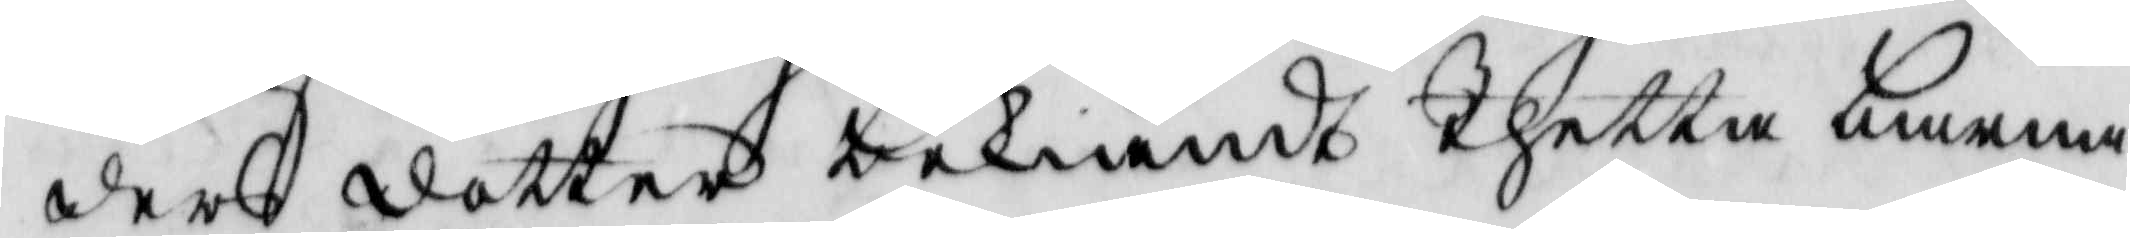ders dotter bekiändt Thetta barna¬
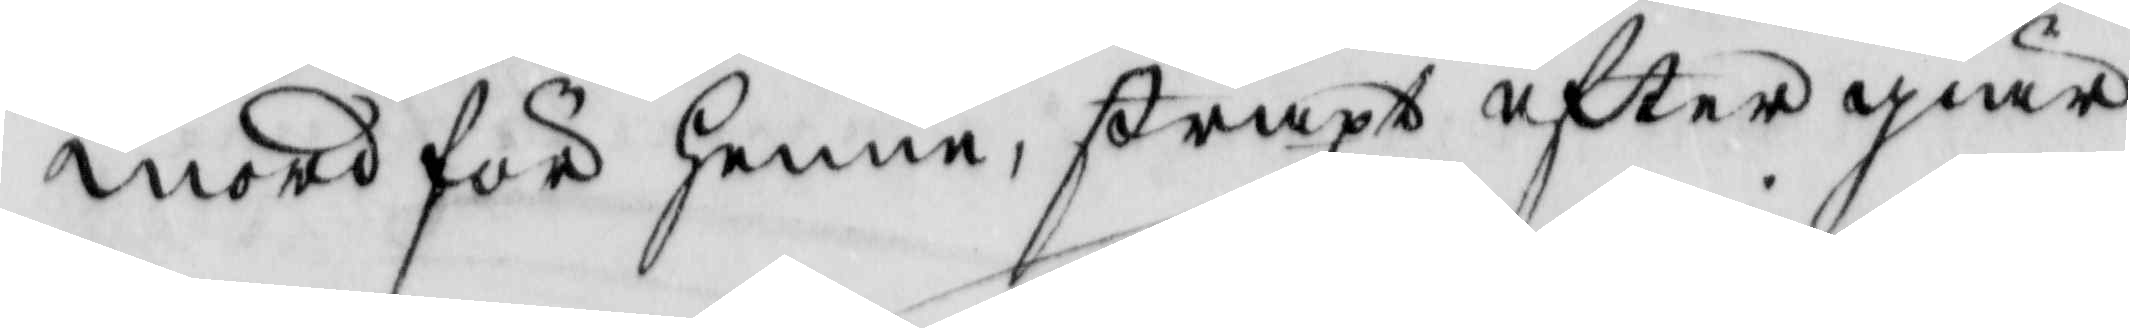mord för henne, straxt efter giär¬
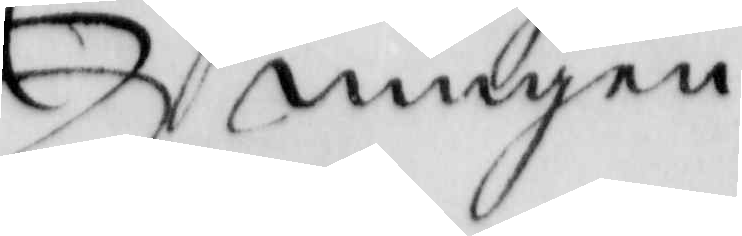ningen
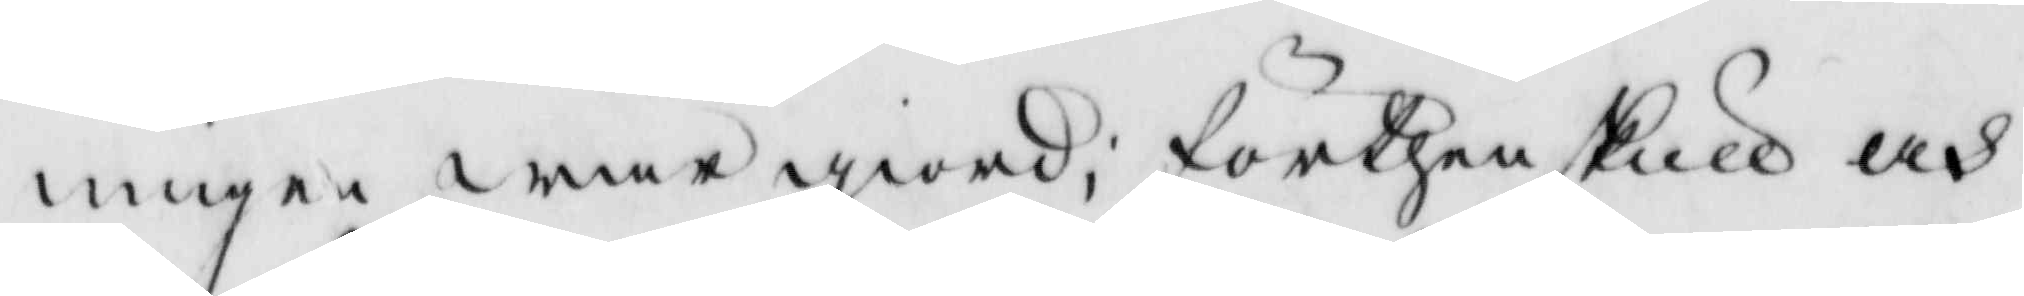ningen war giord; förthenskull och
